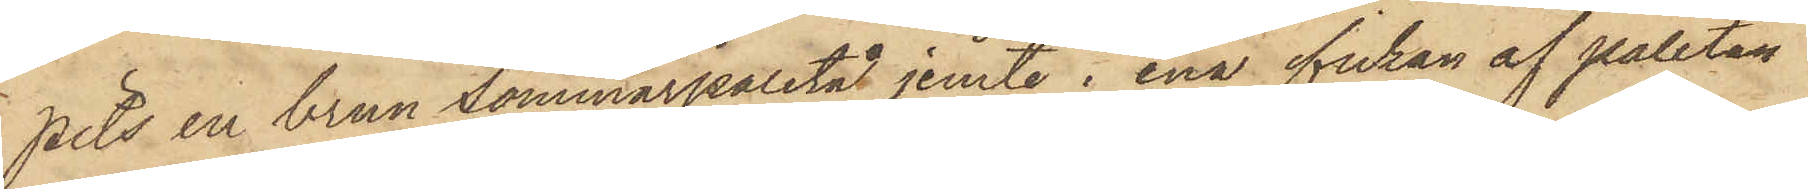pits en brun sommarpaletå jemte i ena fickan af paletån
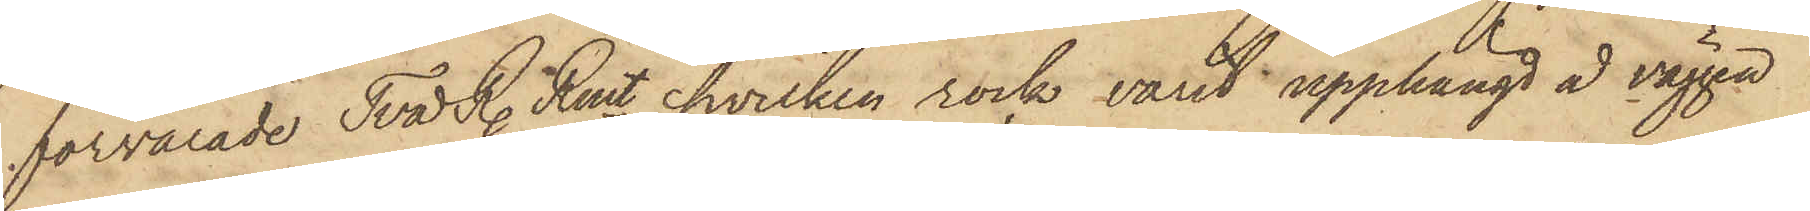förvarade Två R. Rmt, hvilken rock varit upphängd å väggen
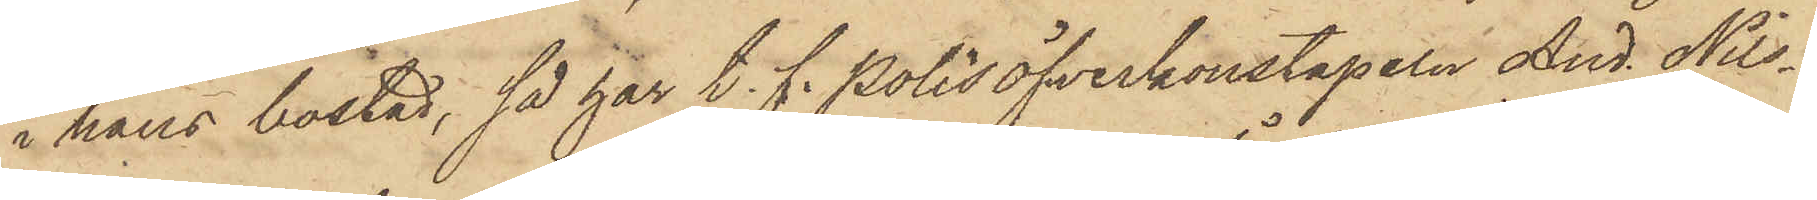i hans bostad, så har t. f. Polisöfverkonstapeln And. Nils¬
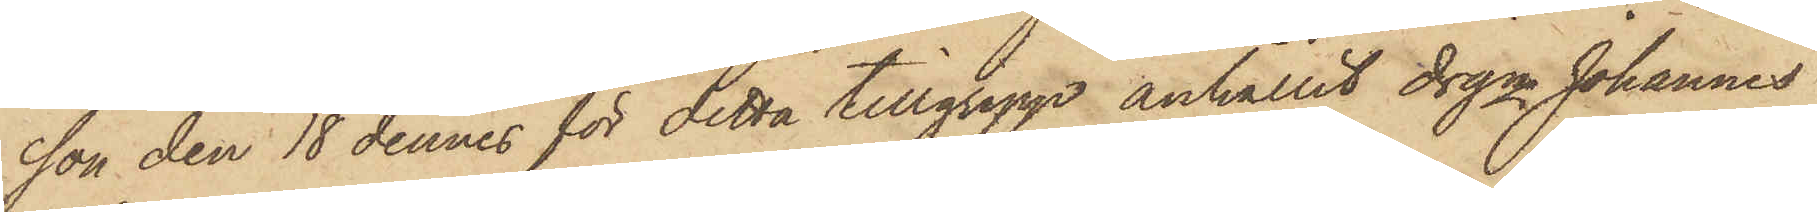son den 18 dennes för detta tillgrepp anhållit drgn Johannes
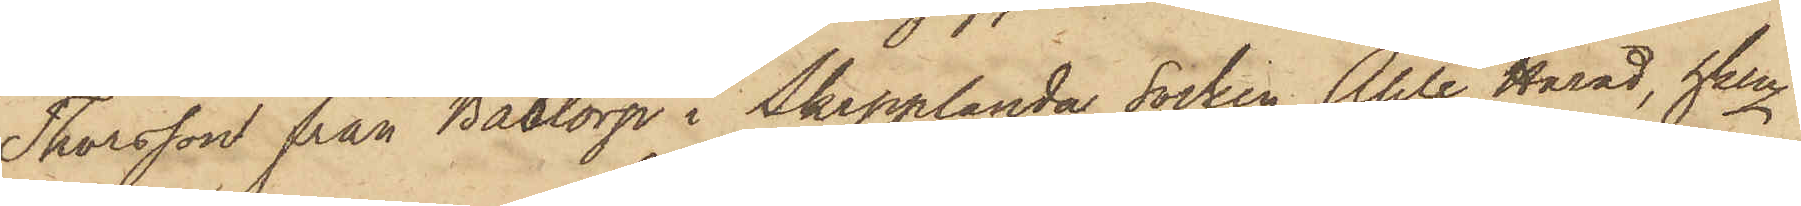Thorsson från Båstorp i Skepplanda Socken Ahle Härad, hken
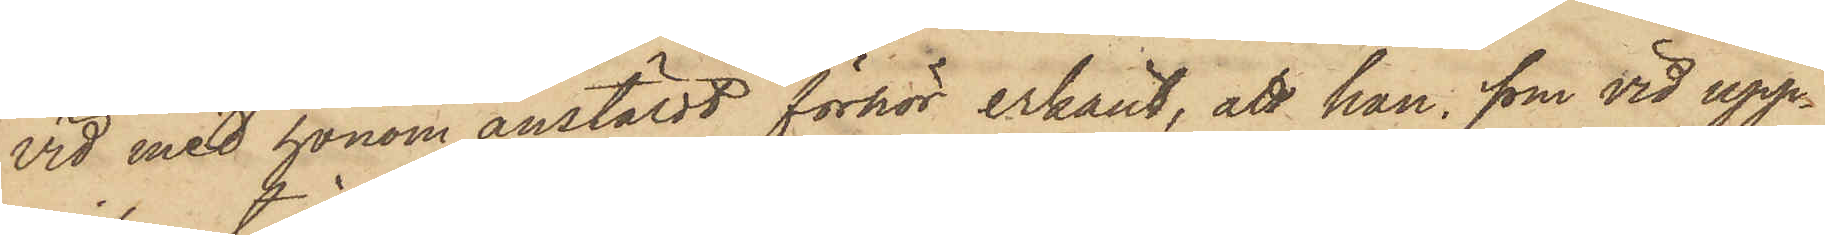vid med honom anstäldt förhör erkänt, att han, som vid upp¬
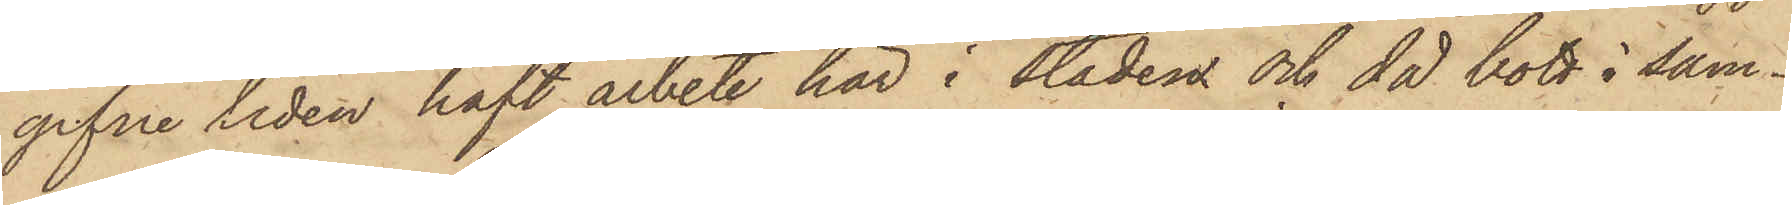gifne tiden haft arbete här i staden och då bott i sam¬
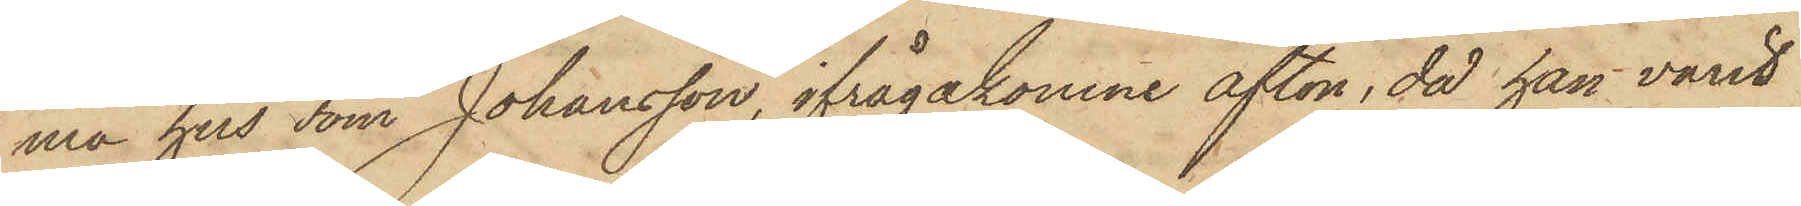ma hus som Johansson, ifrågakomne afton, då han varit
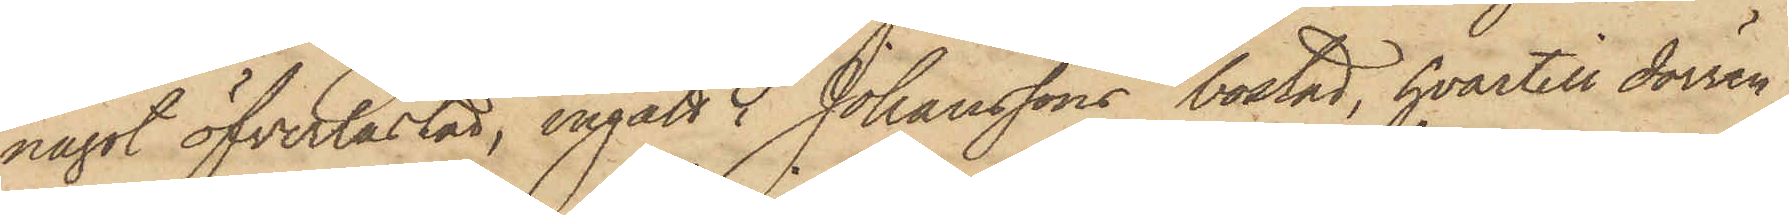något öfverlastad, ingått i Johanssons bostad, hvartill dörren
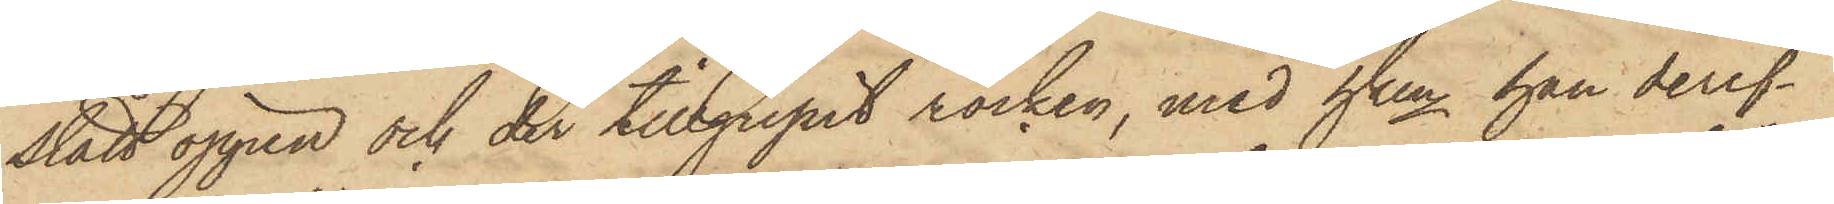stått öppen och der tillgripit rocken, med hken han deref¬
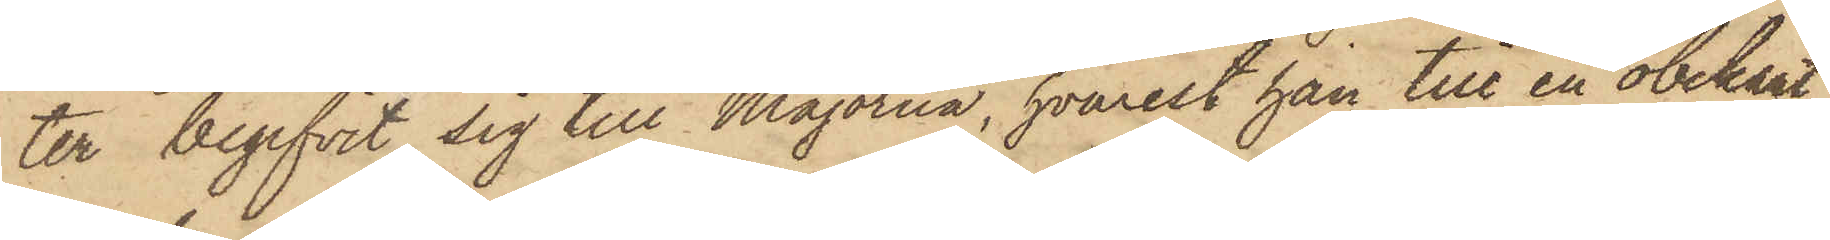ter begifvit sig till Majorna, hvarest han till en obekant
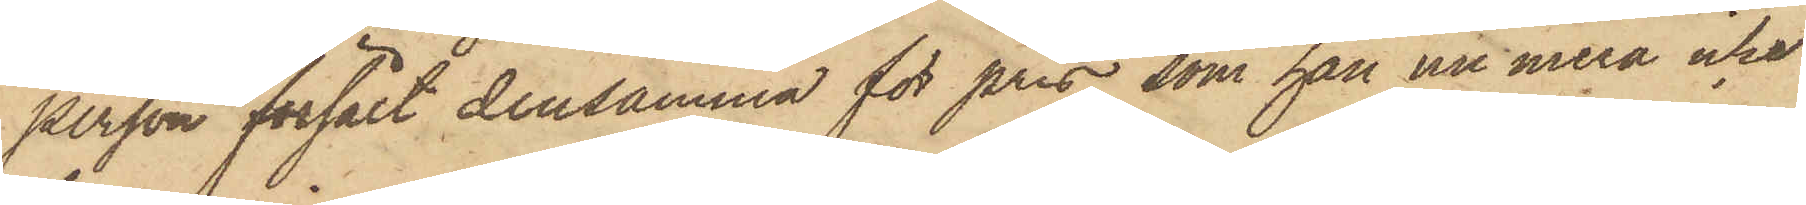person försålt densamma för pris, som han nu mera icke
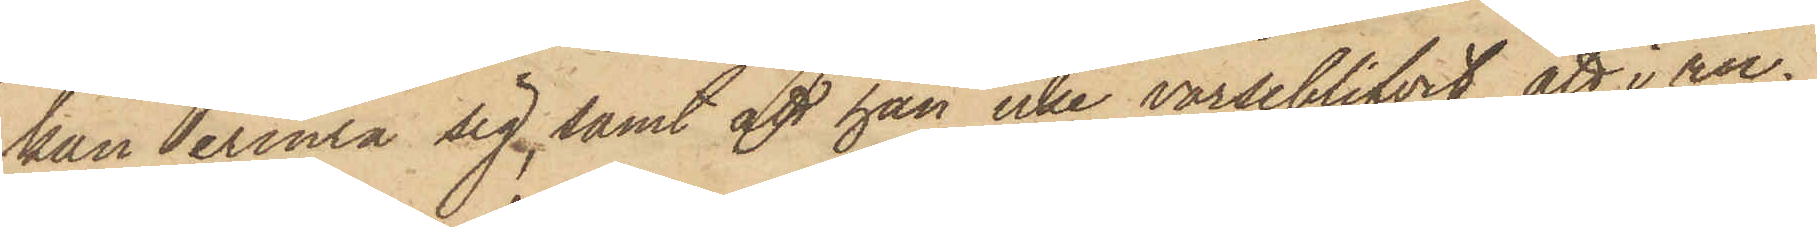kan erinra sig, samt att han icke varseblifvit, att i roc¬
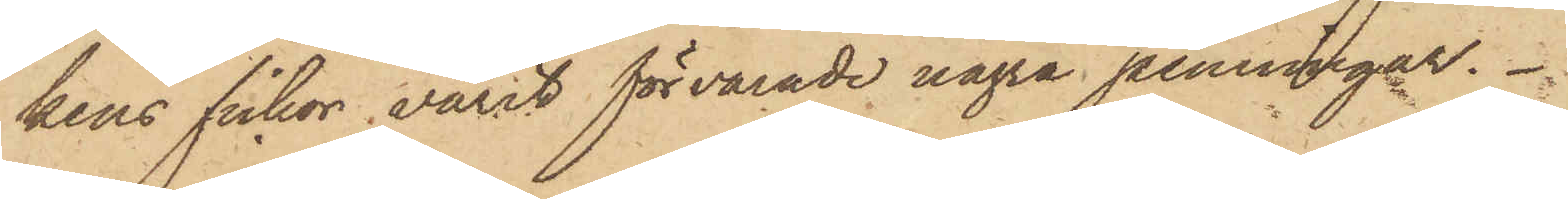kens fickor varit förvarade några penningar.
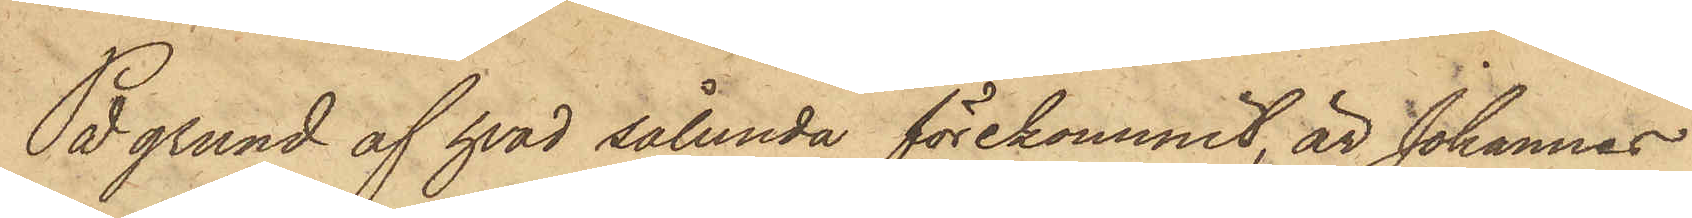På grund af hvad sålunda förekommit, är Johannes
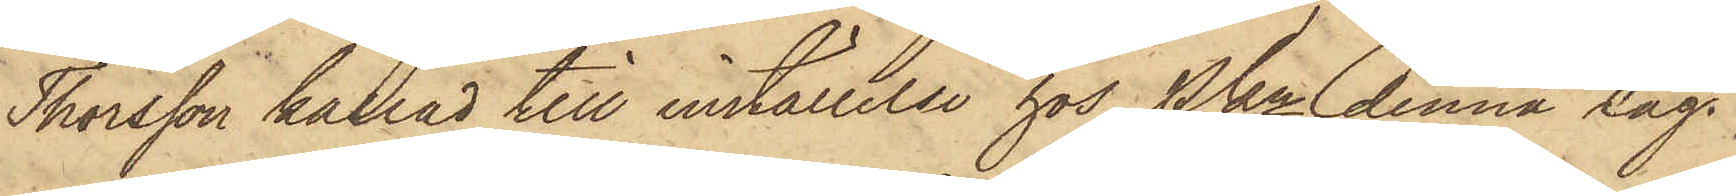Thorsson kallad till inställelse hos Pkn denna dag.
